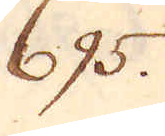695.
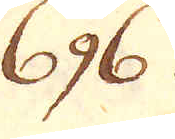696.
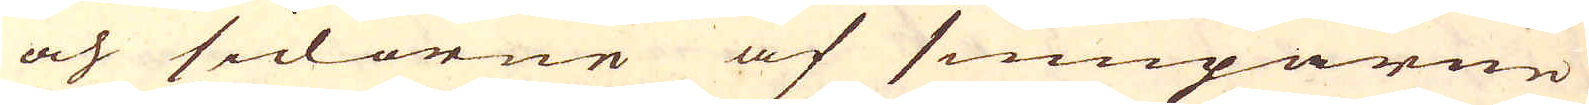och sidorne af sumparne
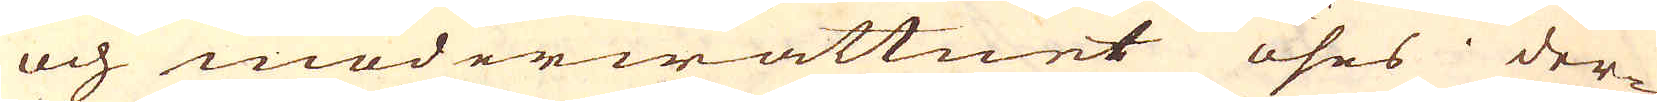och moderwattnet öses der-
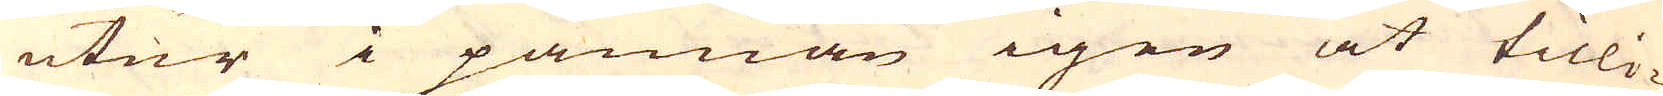utur i pannan igen at tilli-
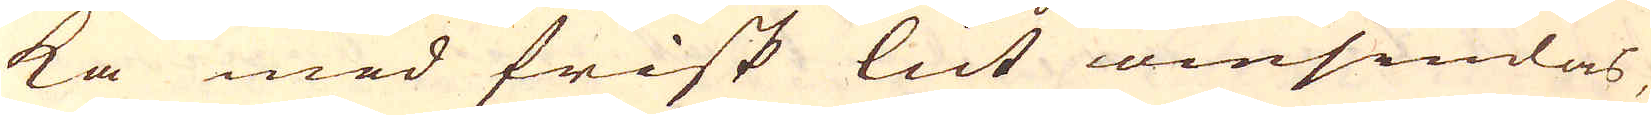ka med frisk lut omsiudas,
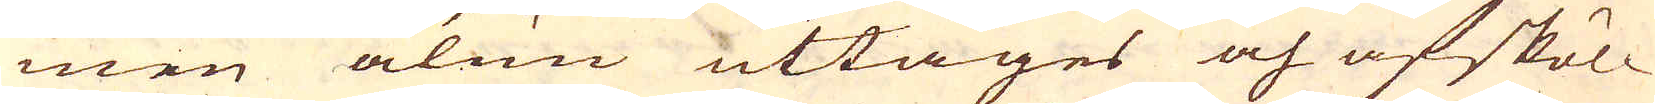men alun uttages och afsköl-
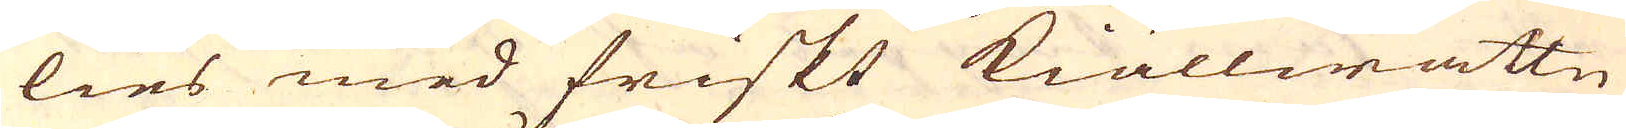lies med friskt kiällwattn
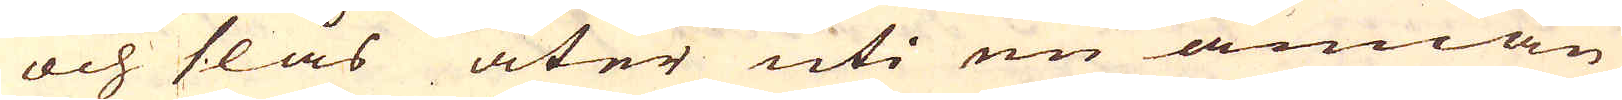och slås åter uti en annan
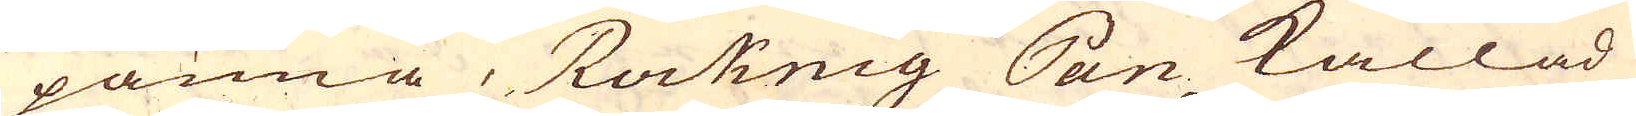panna, Roknig Pan kallad,
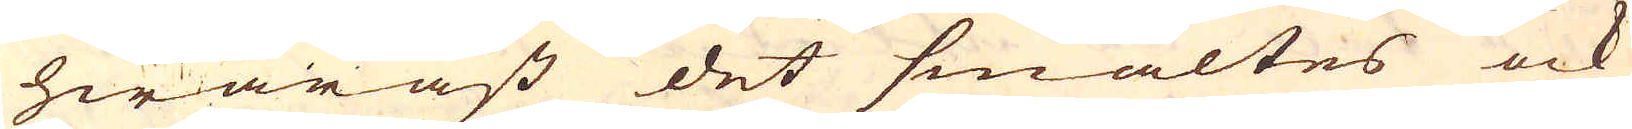hwaräst det smältes ock
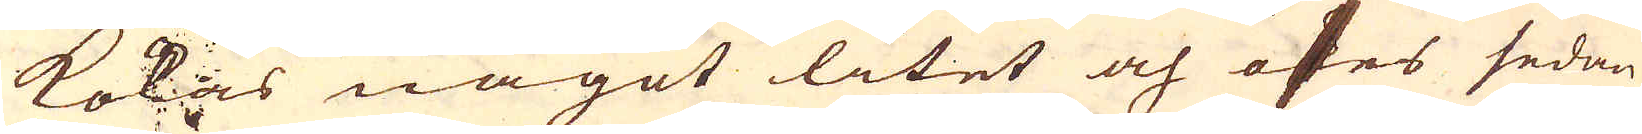kokas något litet och öses sedan
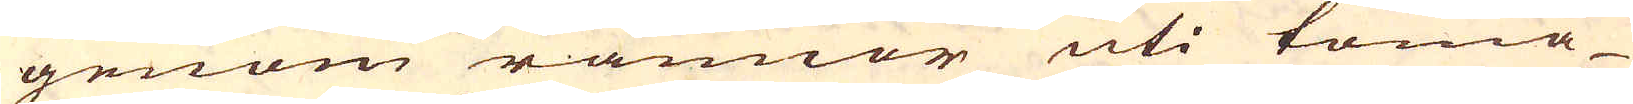genom rännor uti toma
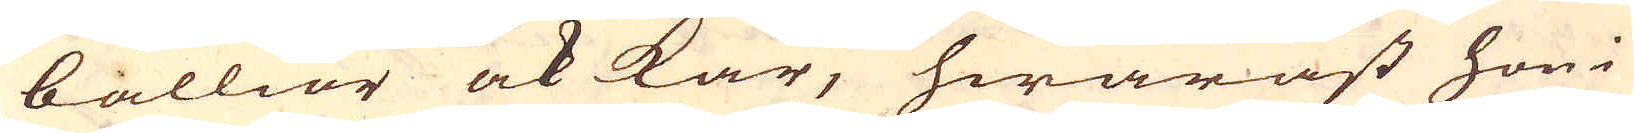ballior ock kar, hwaräst hon i
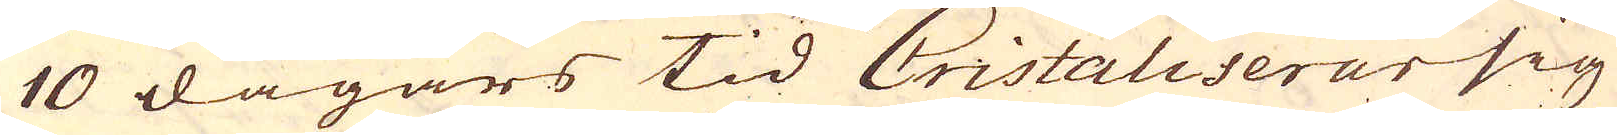10 dagars tid Cristaliserar sig
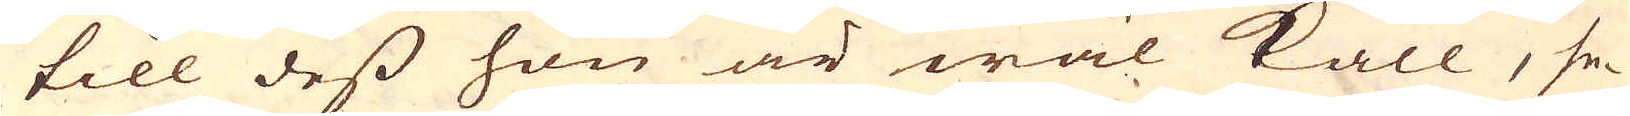till dess hon är wäl kall, se-
